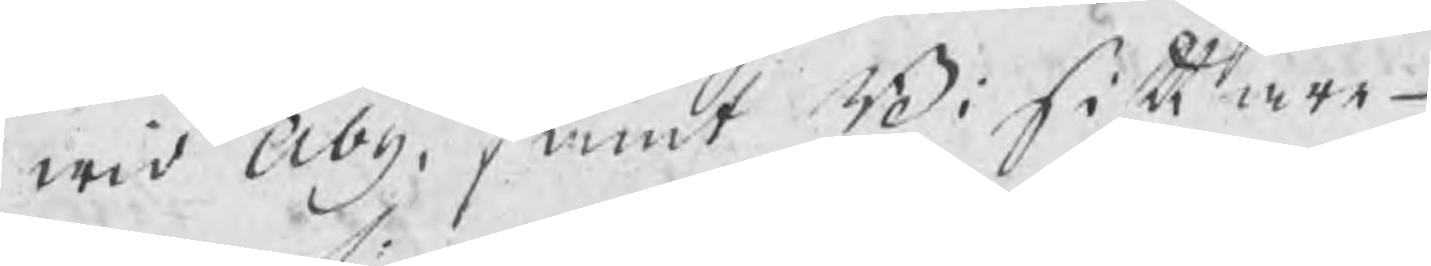wid Åby, samt Bisittare¬
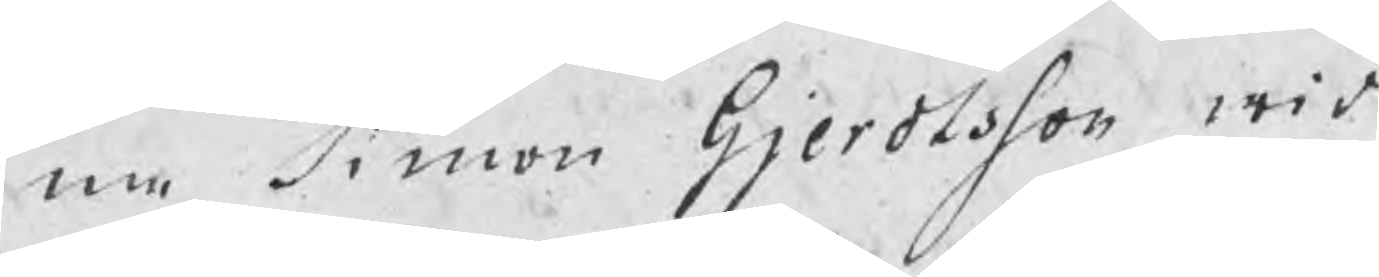na Simon Gjerdtsson wid
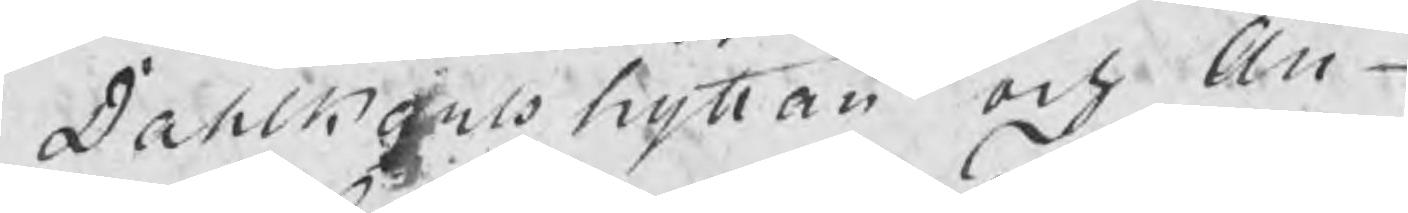Dahlkarlshyttan och An¬
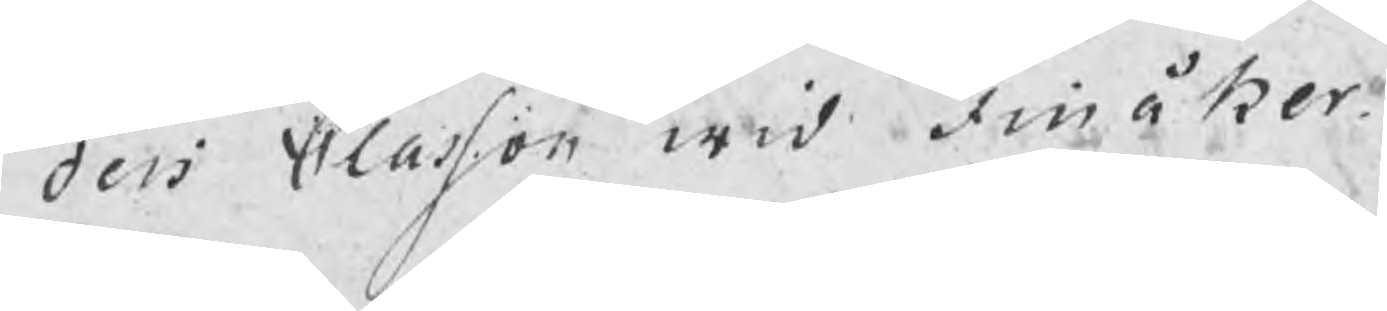ders Classon wid Finåker.
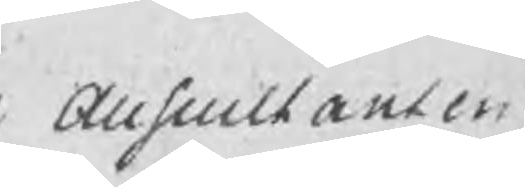Auscultanten
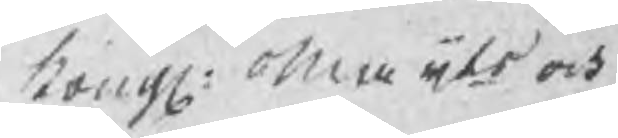i Kongl: Maijts och
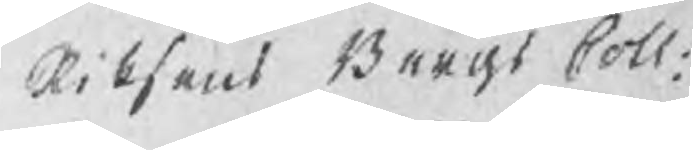Riksens Bergs Coll:
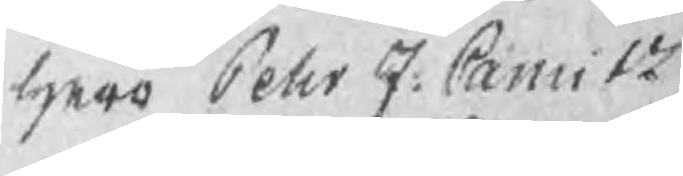herr Pehr J: Camitz
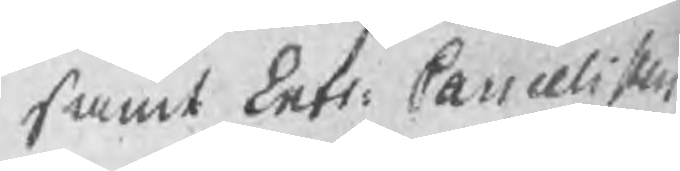Samt Entr: Cancelisten
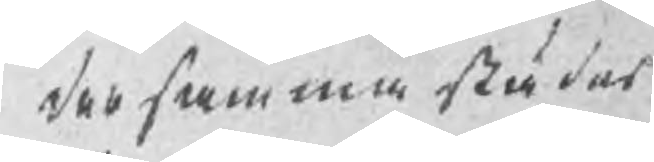dersammastädes
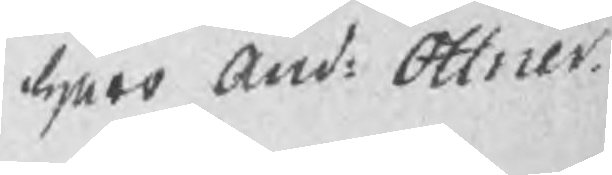herr And: Ottner.
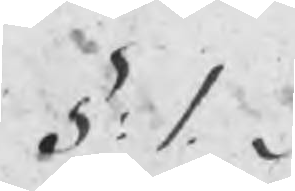§: 1.
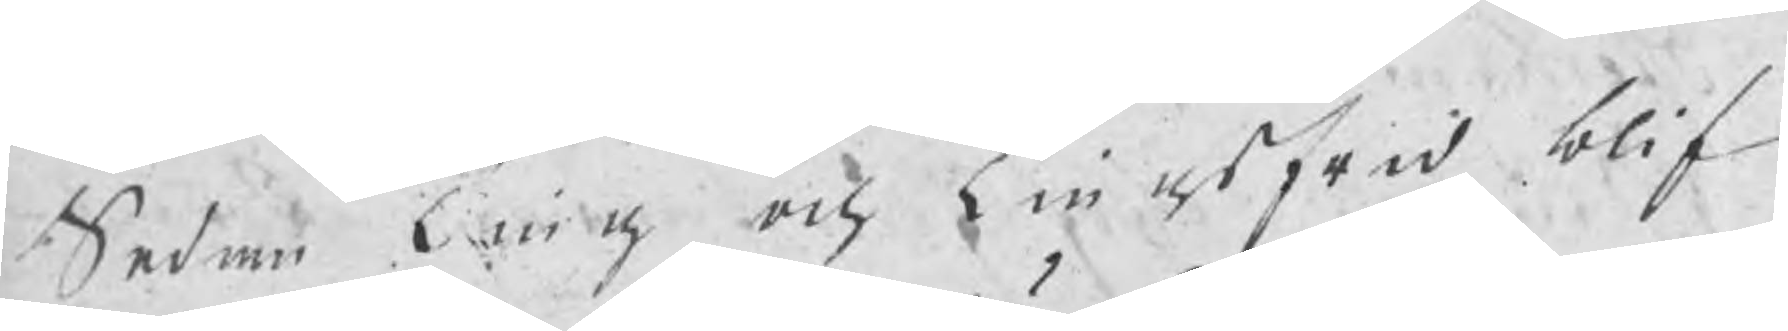Sedan Ting och Tingsfred blif¬
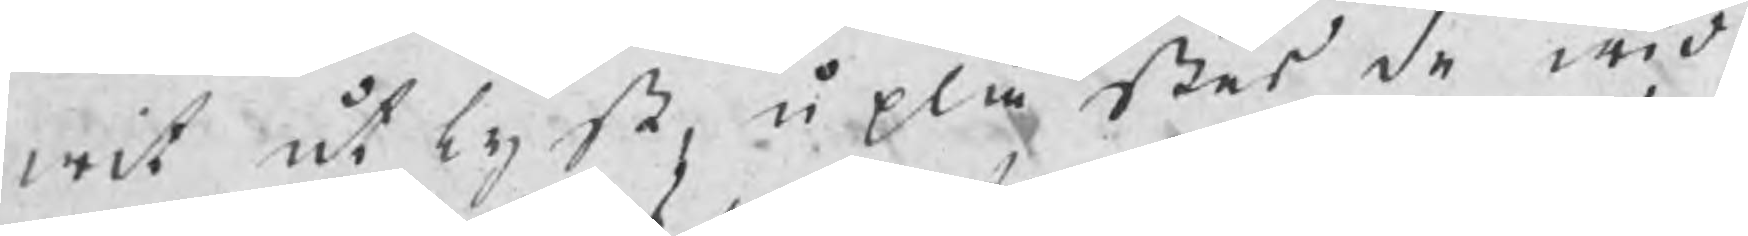wit utlyst, uplästes wid
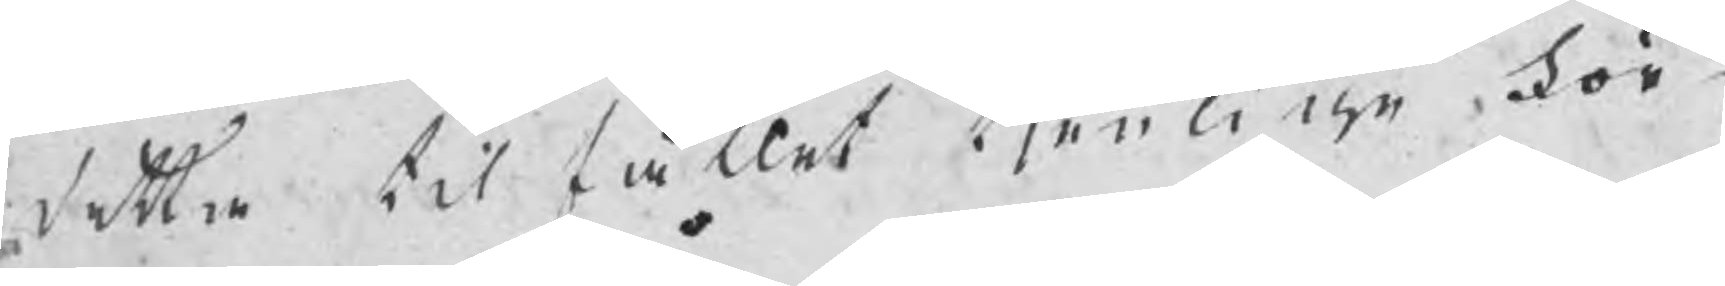detta tilfället tjenlige för¬
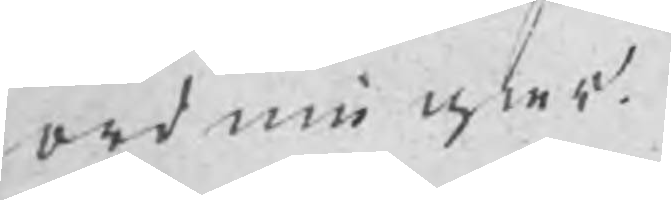ordningar.
